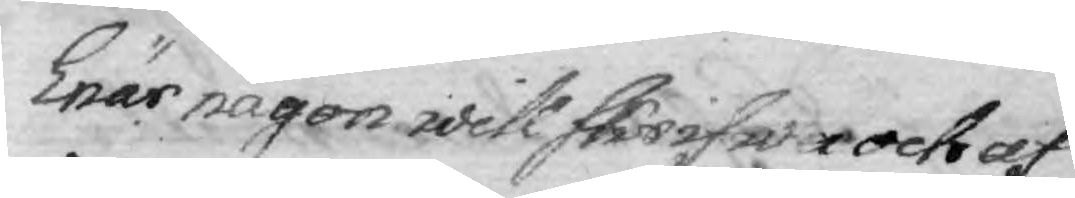Enär någon will skrifwa och af
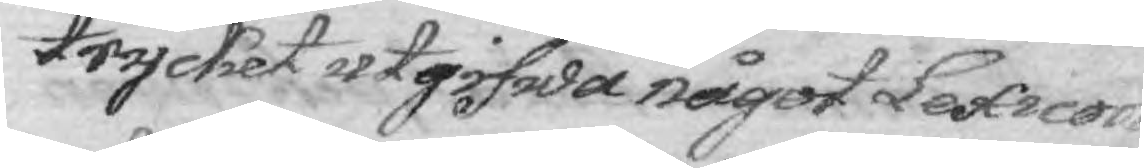trycket utgifwa något Lexicon
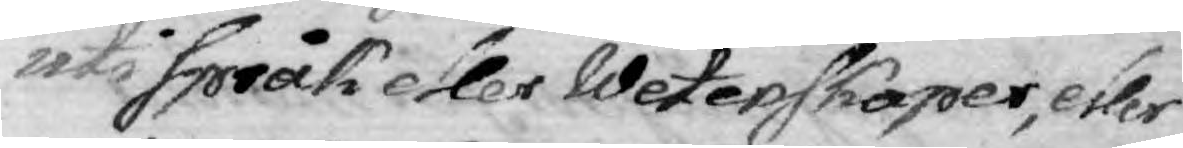uti språk eller Wetenskaper, eller
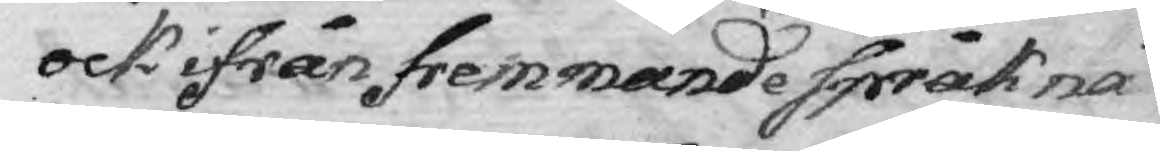ock ifrån fremmande språk nå¬
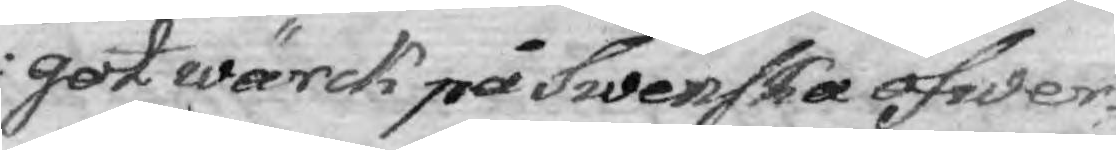got wärck på Swenska öfwer¬
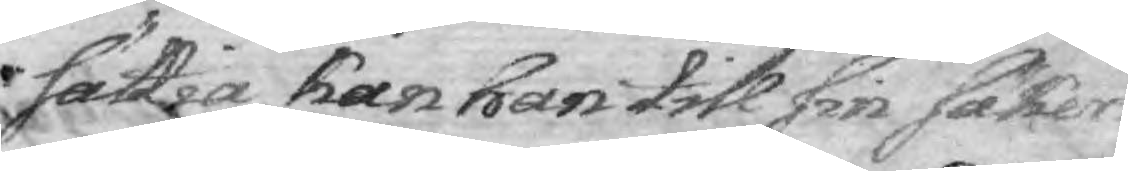sättia kan han till sin säker¬
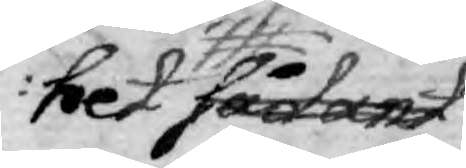het sådant
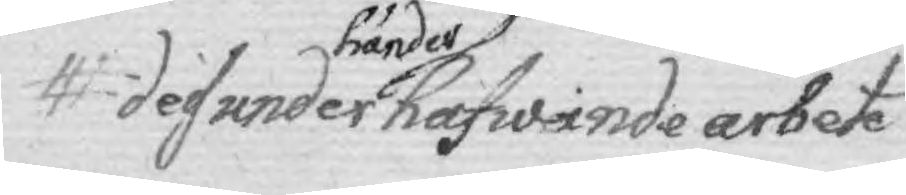des under händer hafwande arbete
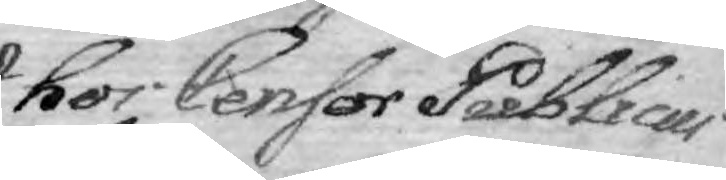hos Censor Publicus
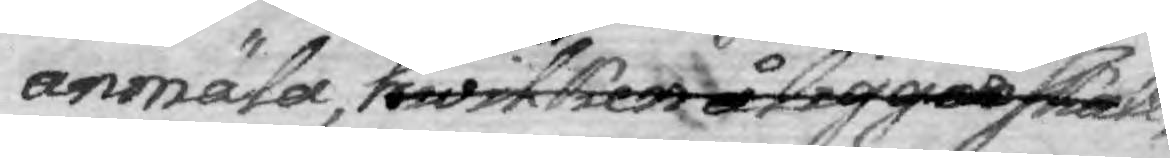anmäla, hwilken åliggas skall, 
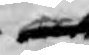och
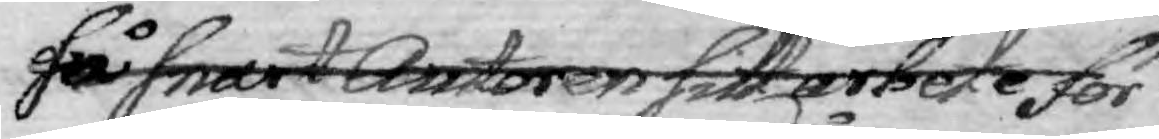så snart Autoren sitt arbete för
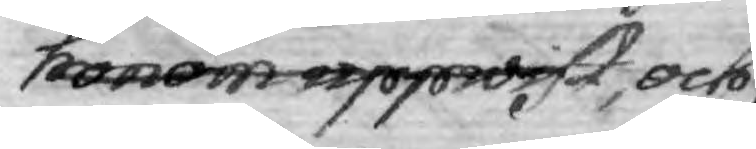honom uppwist, och
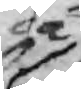då
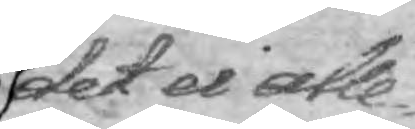det ei alle¬
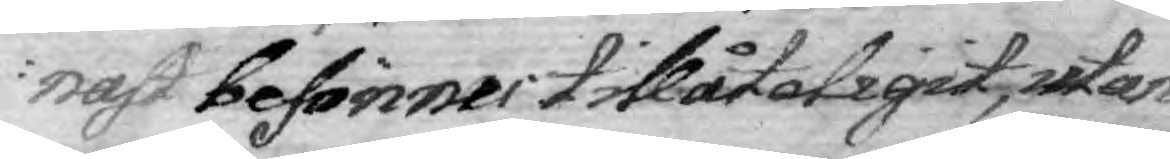nast befinnes tillåteligit, utan
